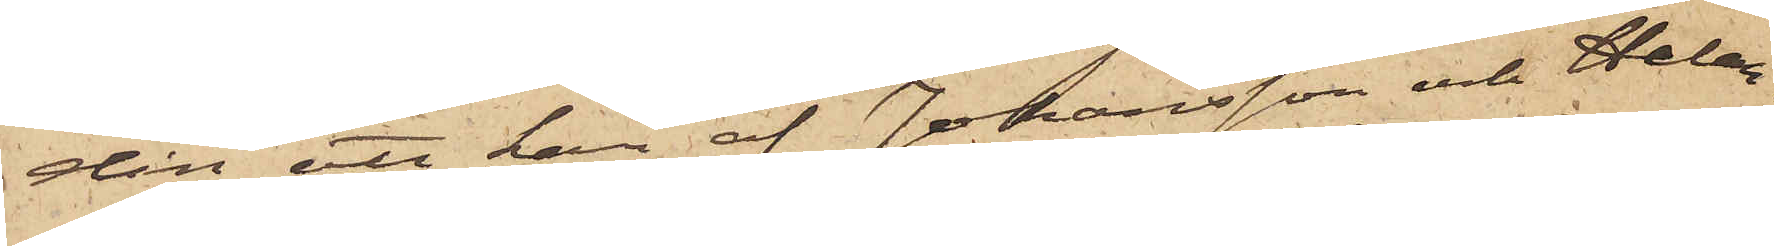din att han af Johansson och Helan¬
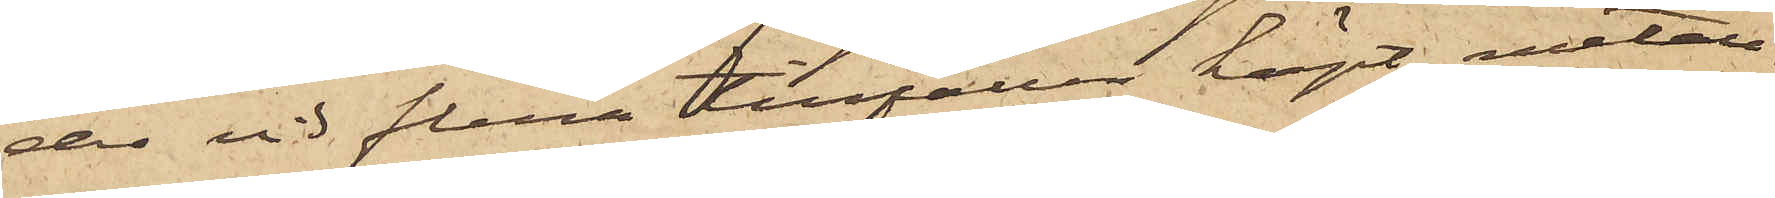der vid flera tillfällen köpt metall¬
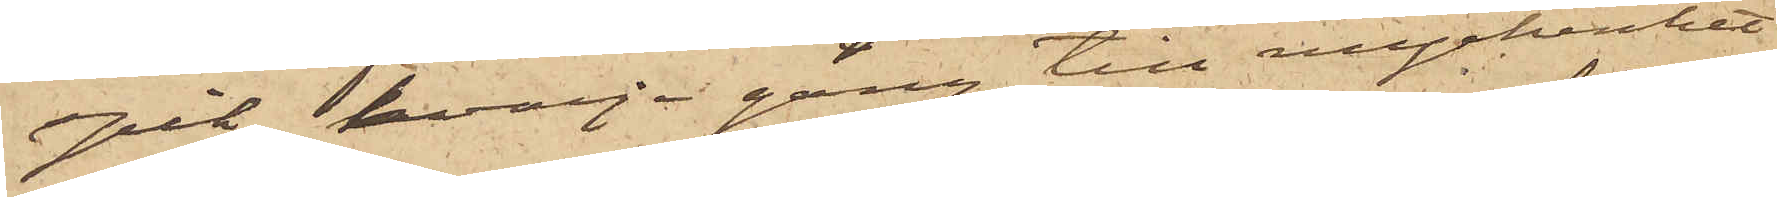spik, hvarje gång till myckenhet
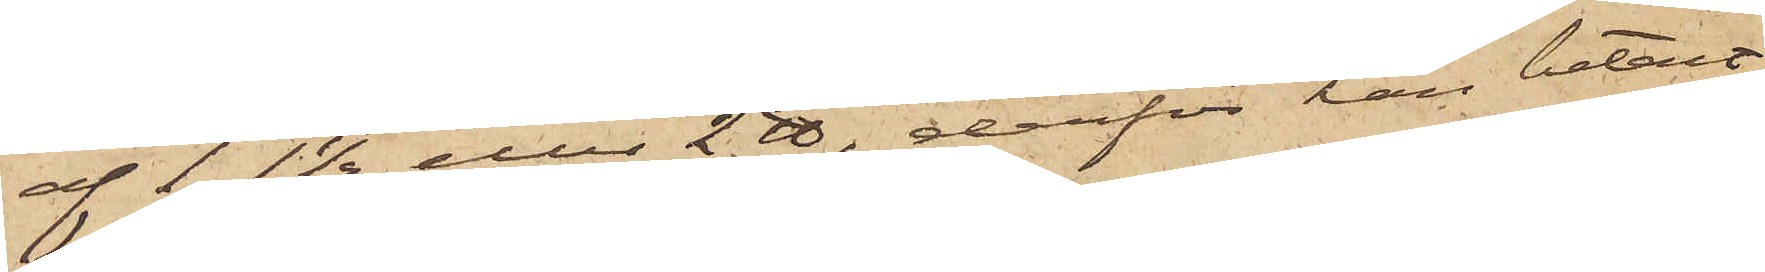af 1, 1½ eller 2 ℔, derför han betalt
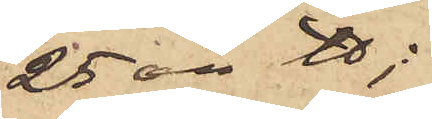25 öre ℔;
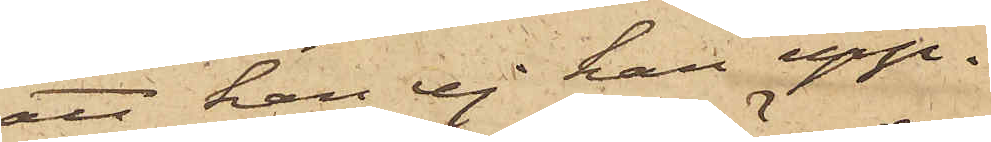att han ej han upp¬
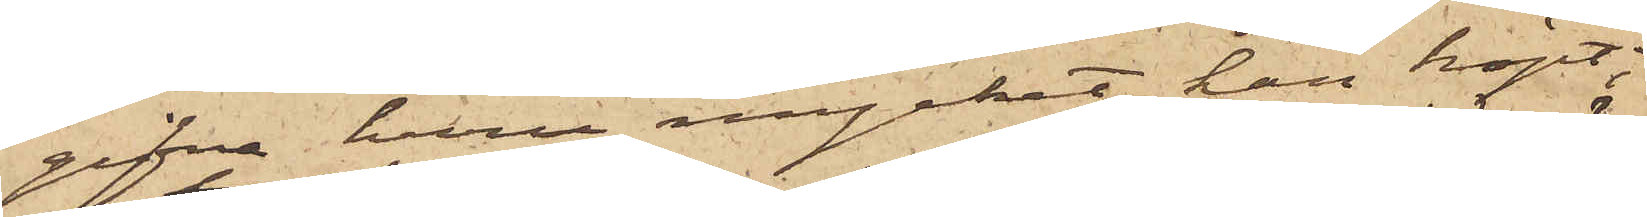gifva huru mycket han köpt;
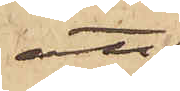att
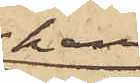han
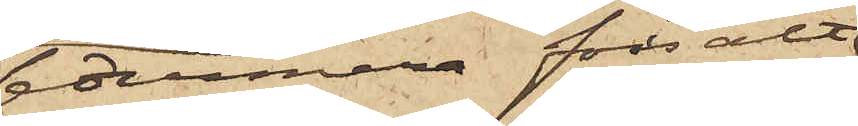sedermera försålt 
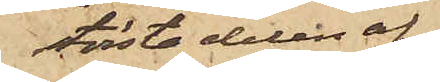största delen af
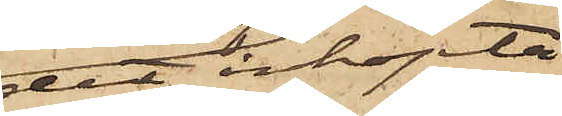det inköpta
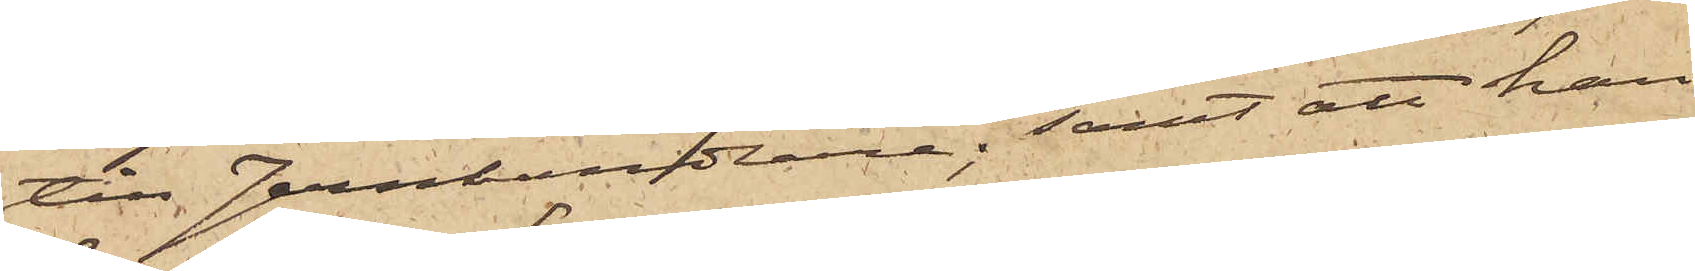till Jernhandlarne; samt att han
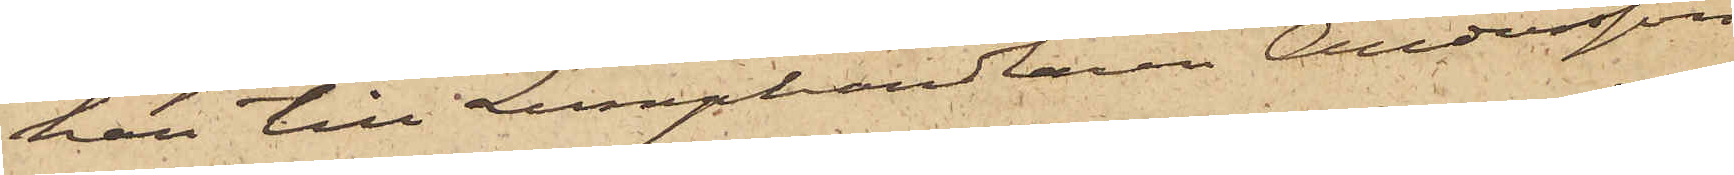har till Lumphandlaren Andersson
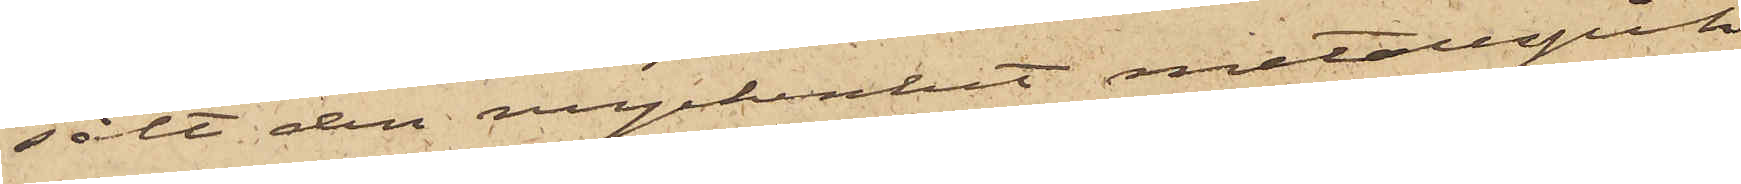sålt den myckenhet metallspik
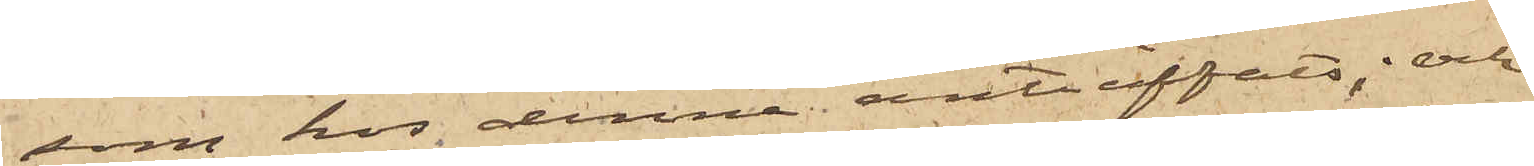som hos denne anträffats; och
